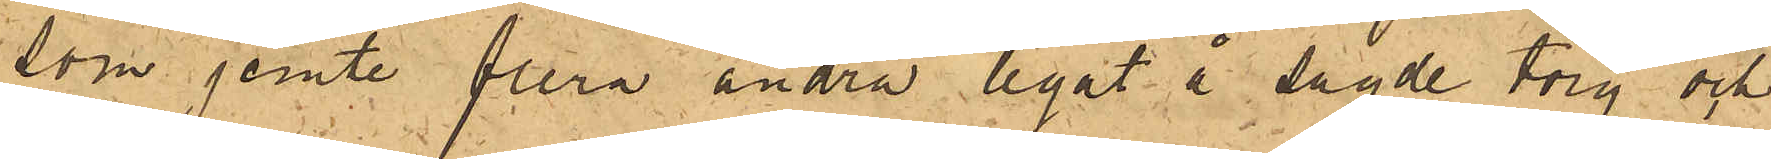som jemte flera andra legat å sagde torg och
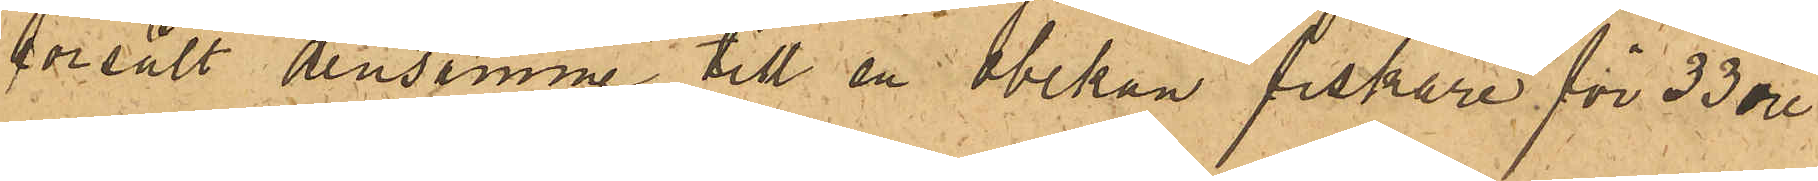försålt densamme till en obekant fiskare för 33 öre
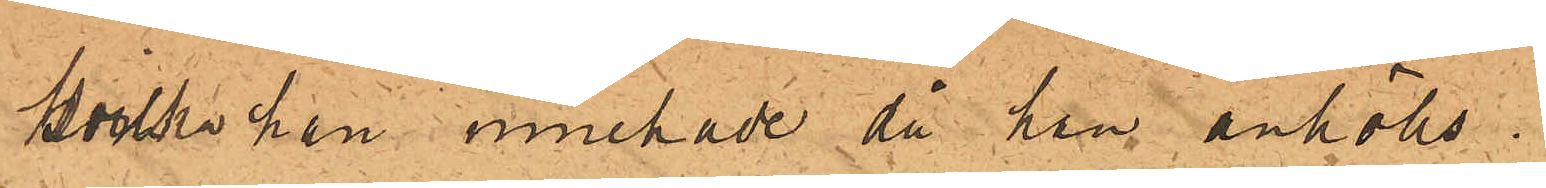hvilka han innehade då han anhölls.
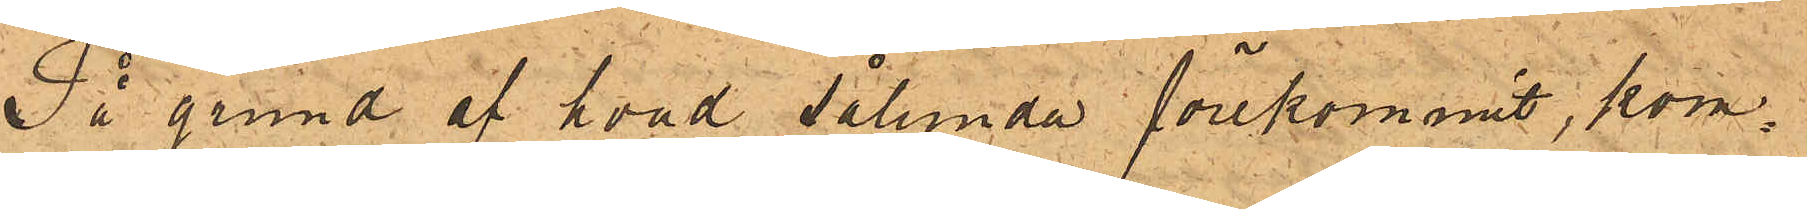På grund af hvad sålunda förekommit, kom¬
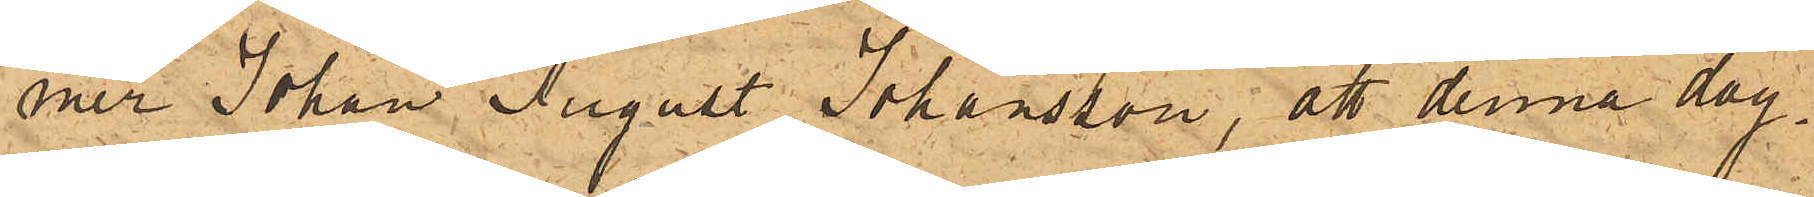mer Johan August Johansson, att denna dag
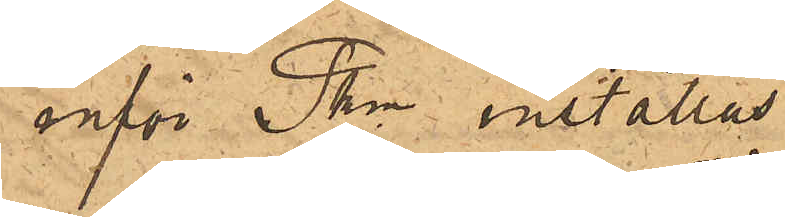inför Pkn inställas.
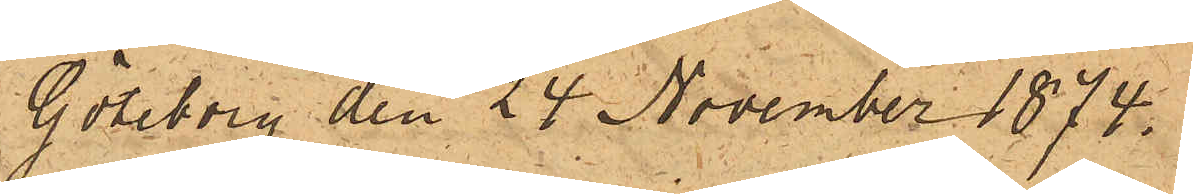Göteborg den 24 November 1874.
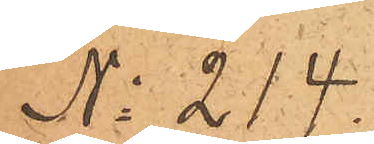No 214.
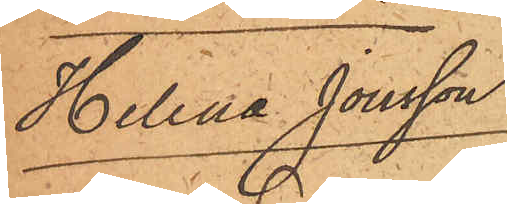Helena Jonsson
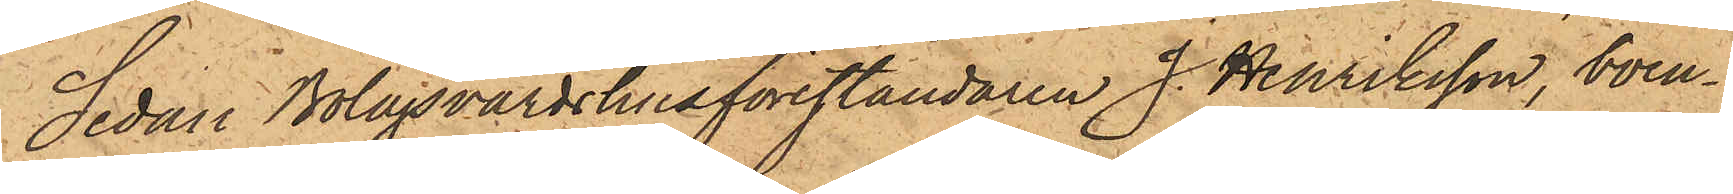Sedan Bolagsvärdshusföreståndaren J. Henriksson, boen¬
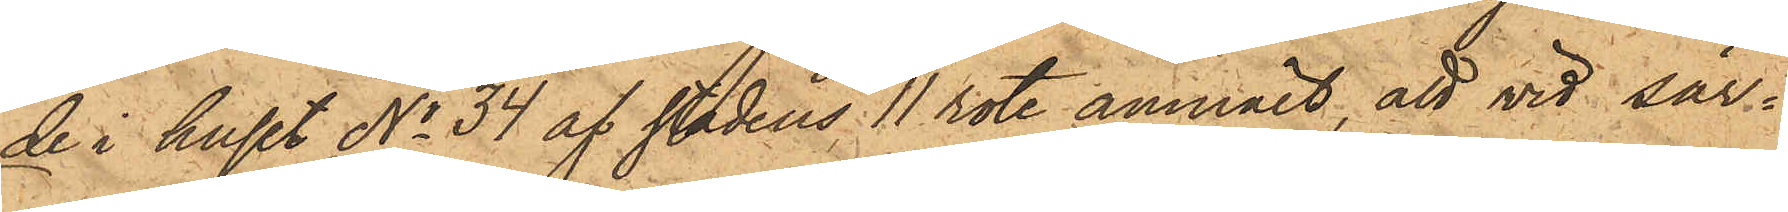de i huset No 34 af stadens 11 rote anmält, att vid sär¬
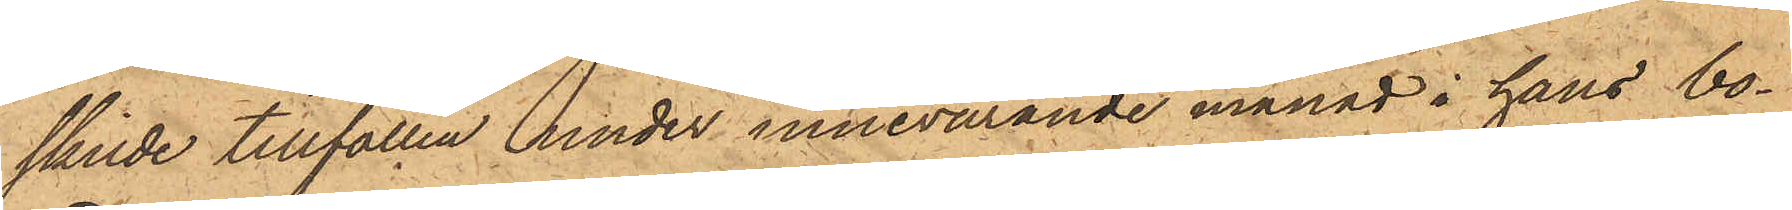skilde tillfällen under innevarande månad i hans bo¬
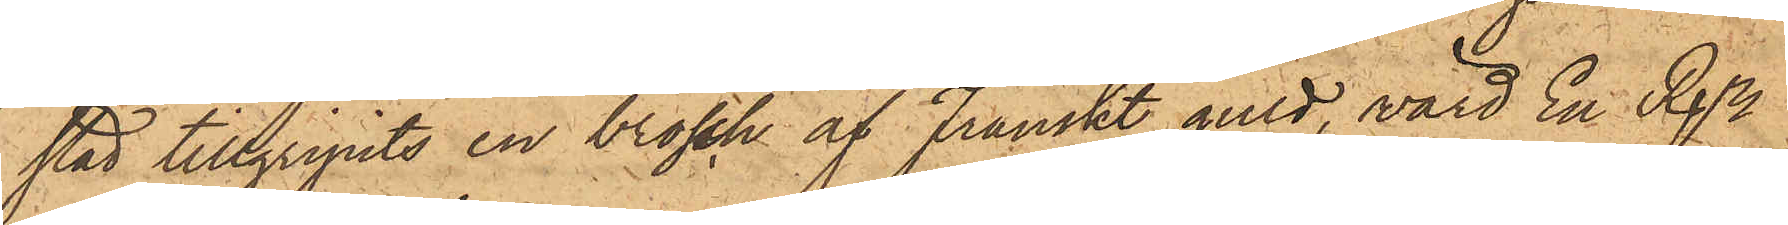stad tillgripits en brosch af Franskt guld, värd En Rdr,
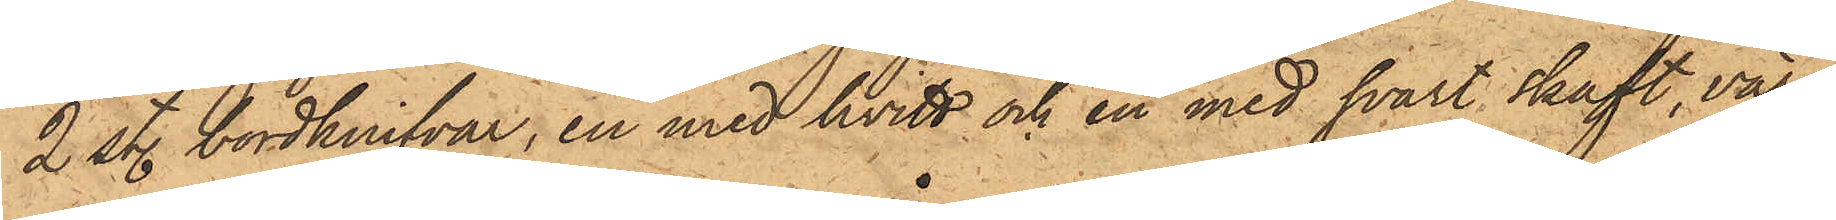2 sty. bordknifvar, en med hvitt och en med svart skaft, vär¬
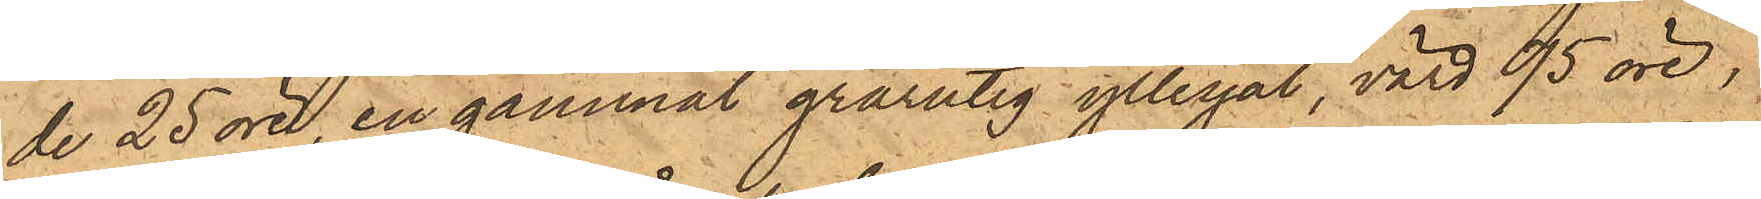de 25 öre, en gammal grårutig yllesjal, värd 95 öre,
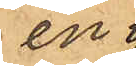en 
